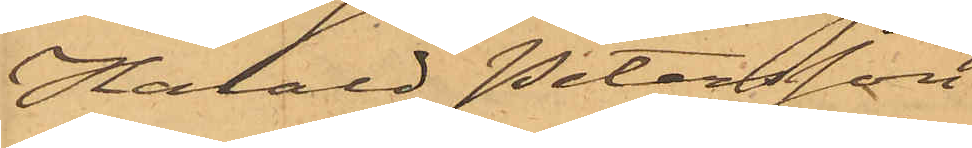Harard Petersson
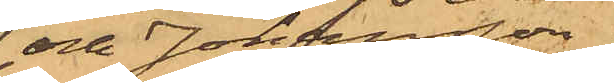och Johansson
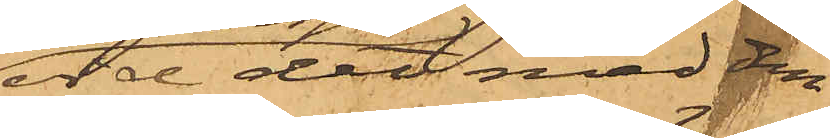vid det med dem
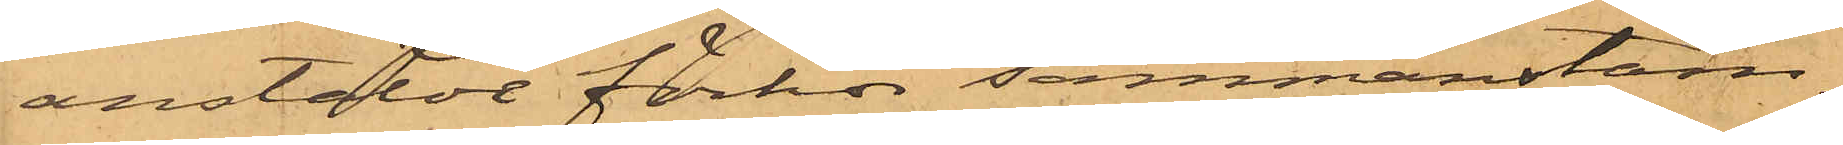anstäldt förhör sammanstäm¬
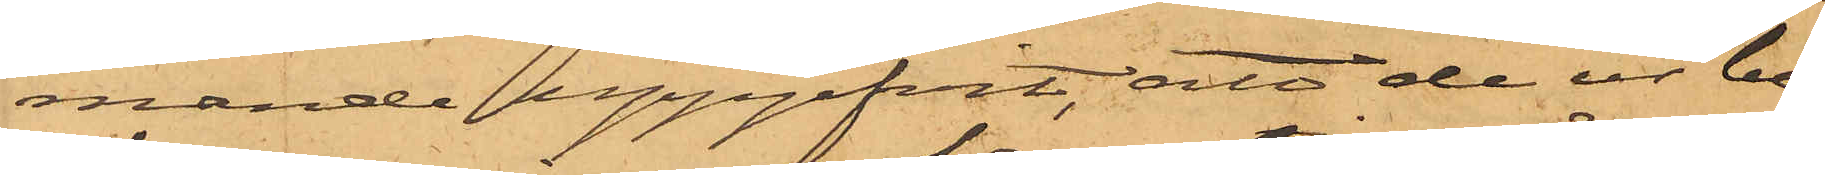mande uppgifvit, att de ur be¬
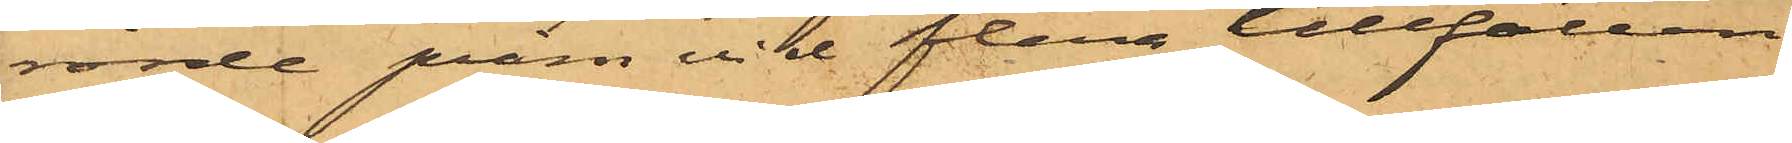rörde pråm vid flera tillfällen
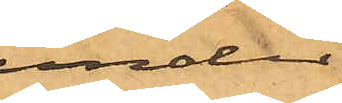under
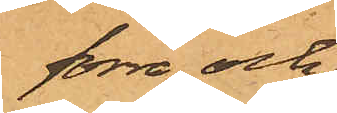förre och
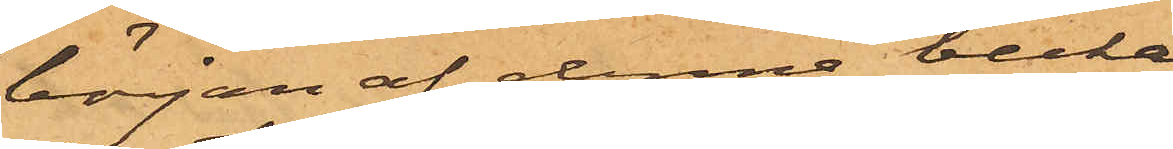början af denne becka
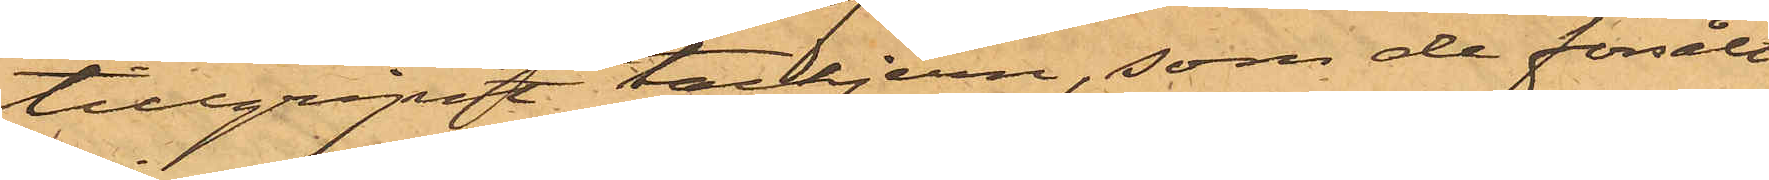tillgripit tackjern, som de försålt
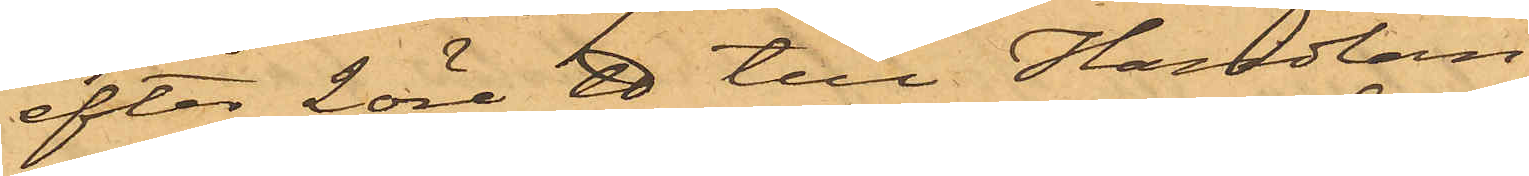efter 2 öre ℔ till Handlan¬
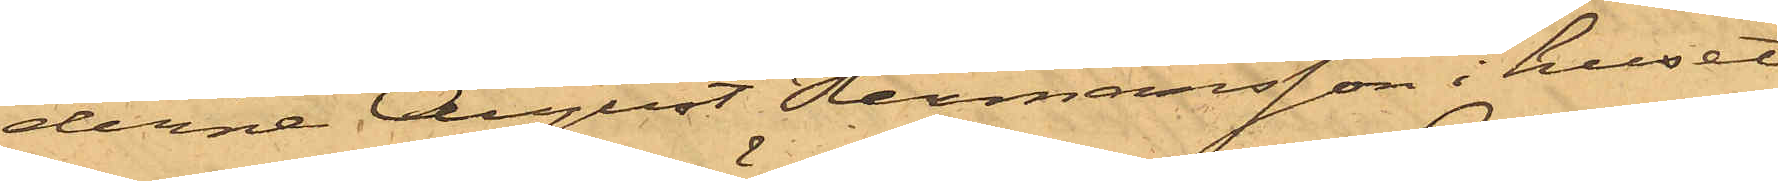derna August Hermansson i huset
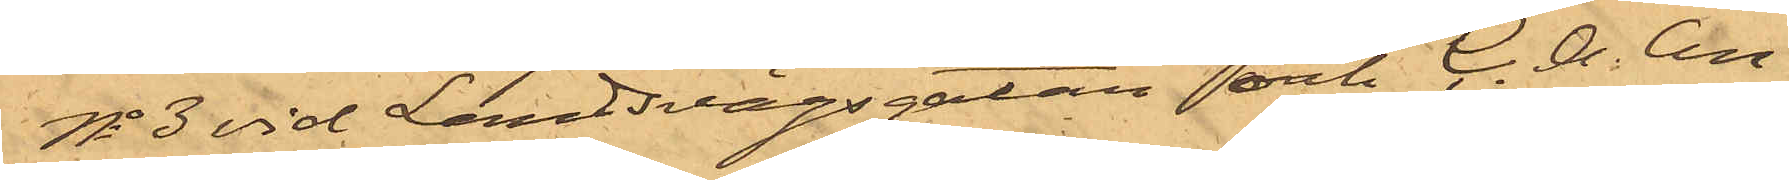No 3 vid Landsvägsgatan och C. G. An¬
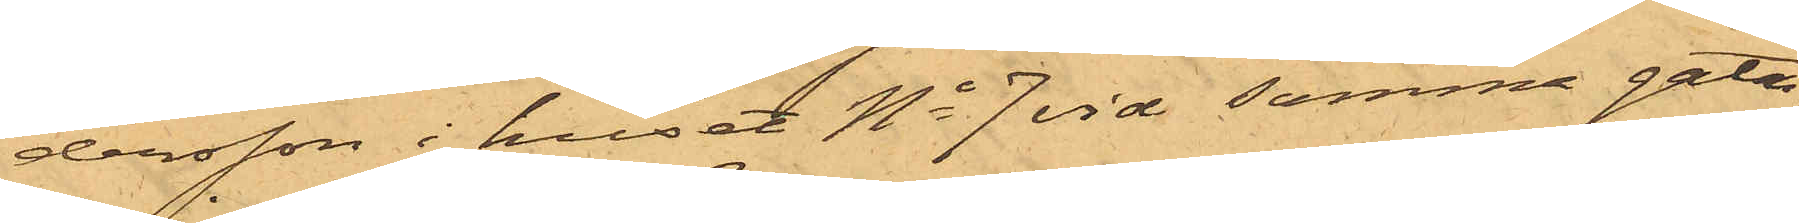dersson i huset No 7 vid samma gata,
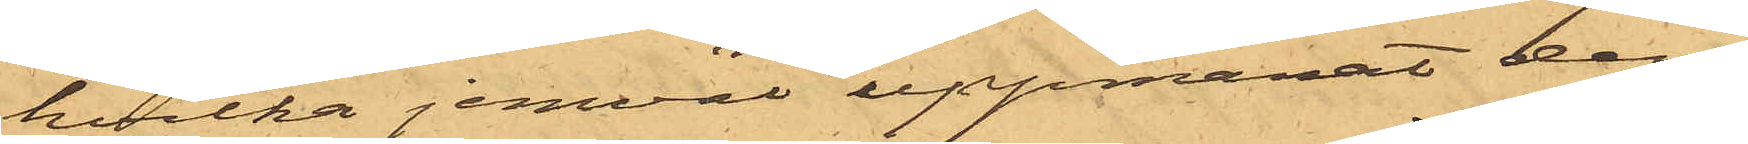hvilka jemväl uppmanat dem
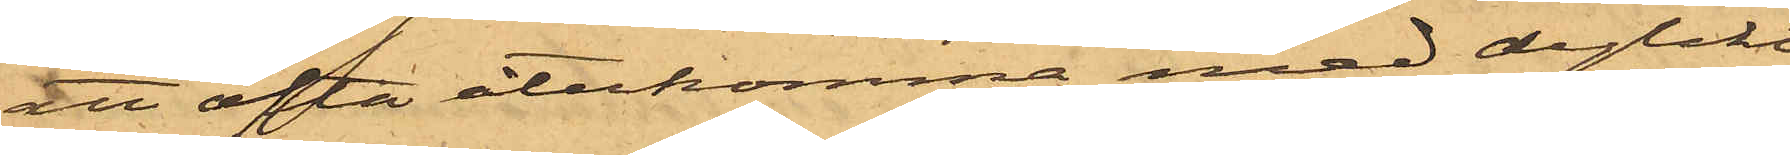att ofta återkomma med dylikt
